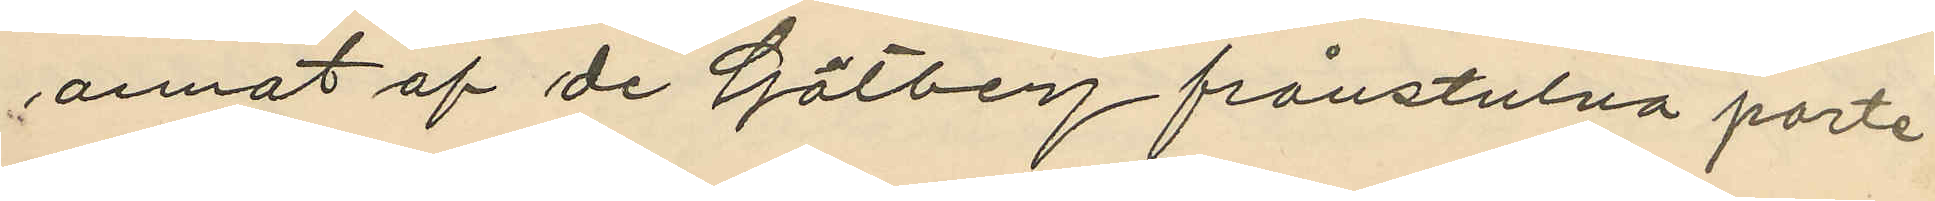annat af de Götberg frånstulna porte¬
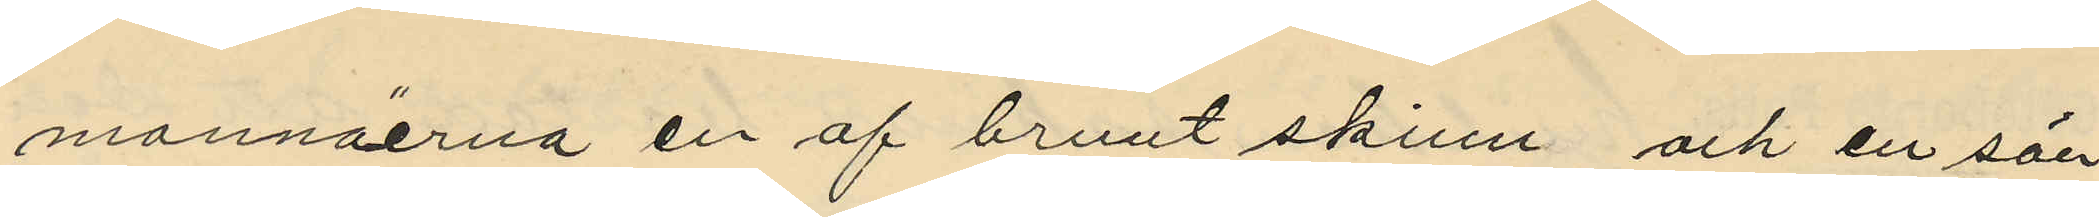monnäerna en af brunt skinn och en sön¬
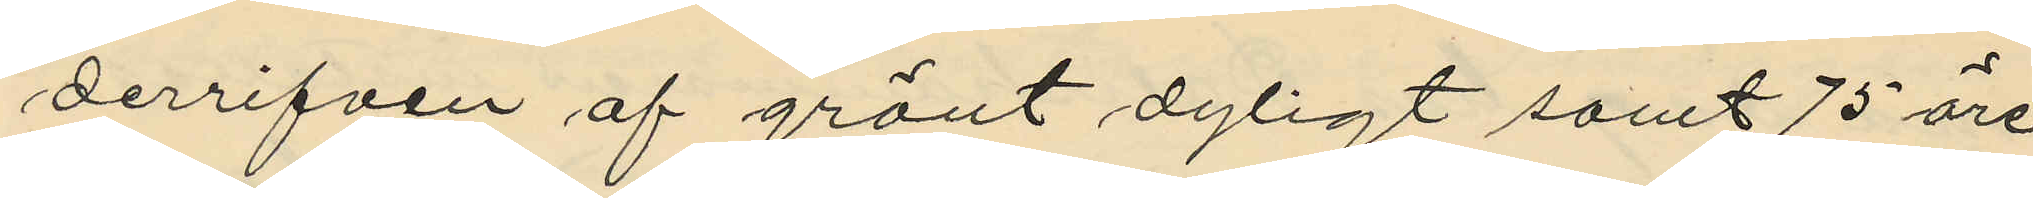derrifven af grönt dyligt samt 75 öre
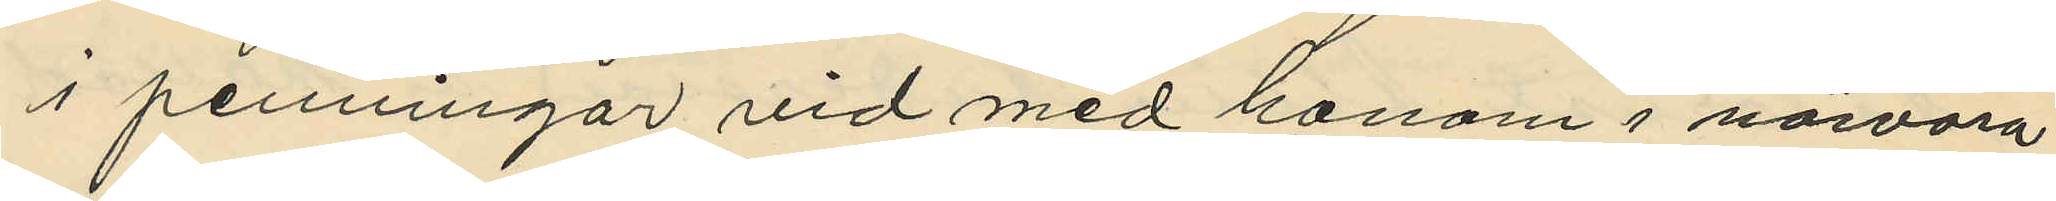i penningar vid med honom i närvaro
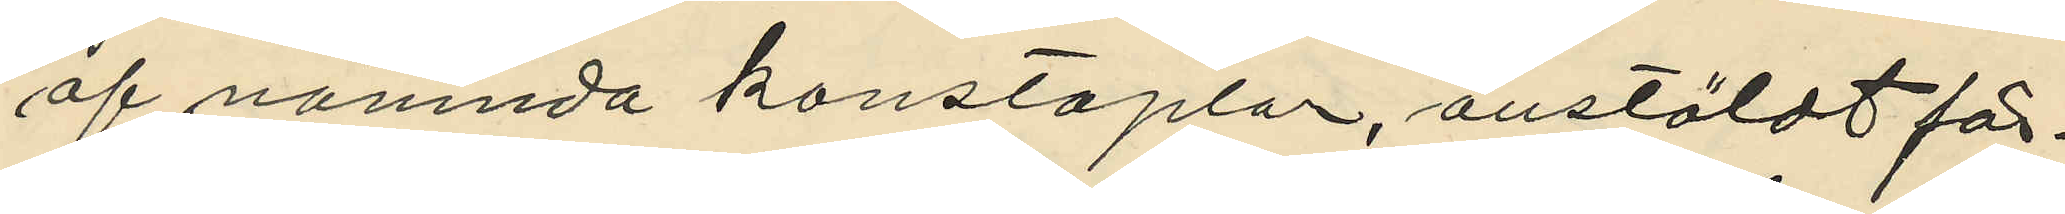af nämnda konstaplar, anstäldt för¬
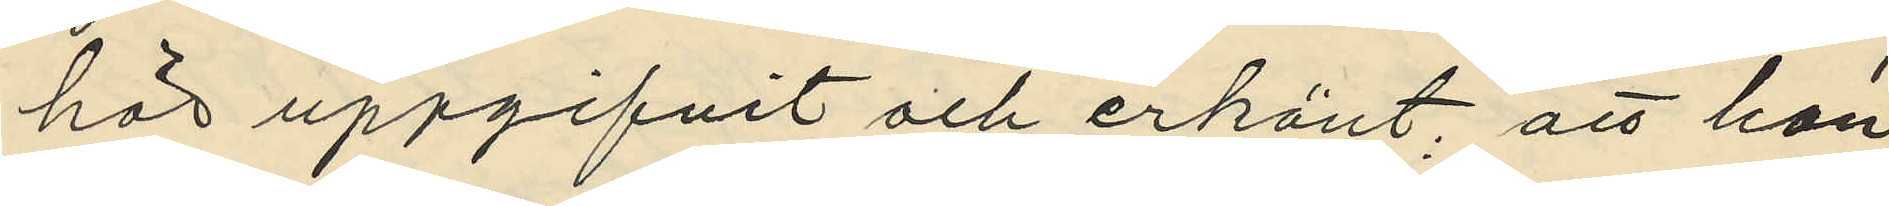hör uppgifvit och erkänt; att han
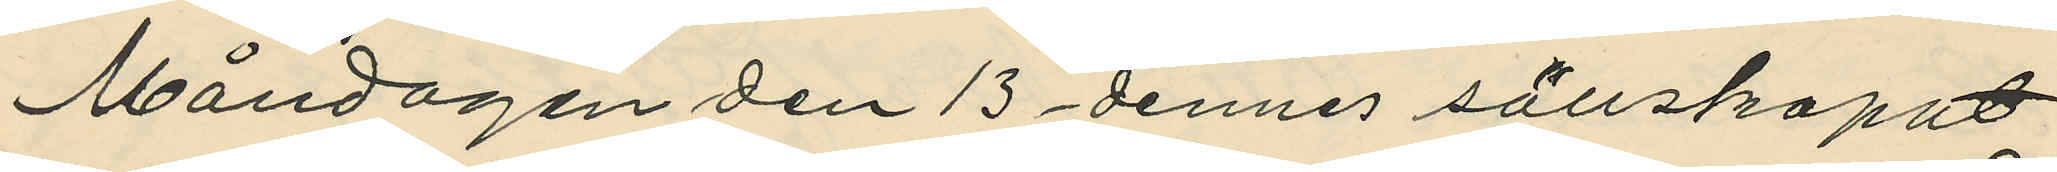Måndagen den 13 dennes sällskapat
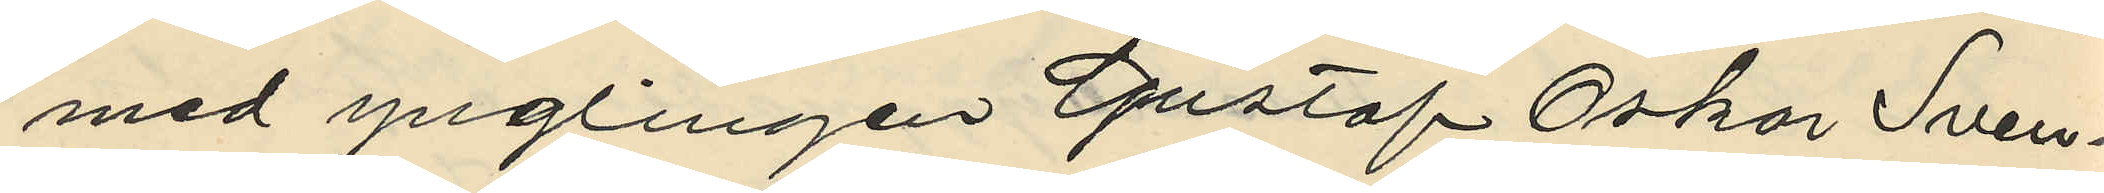med ynglingen Gustaf Oskar Sven¬
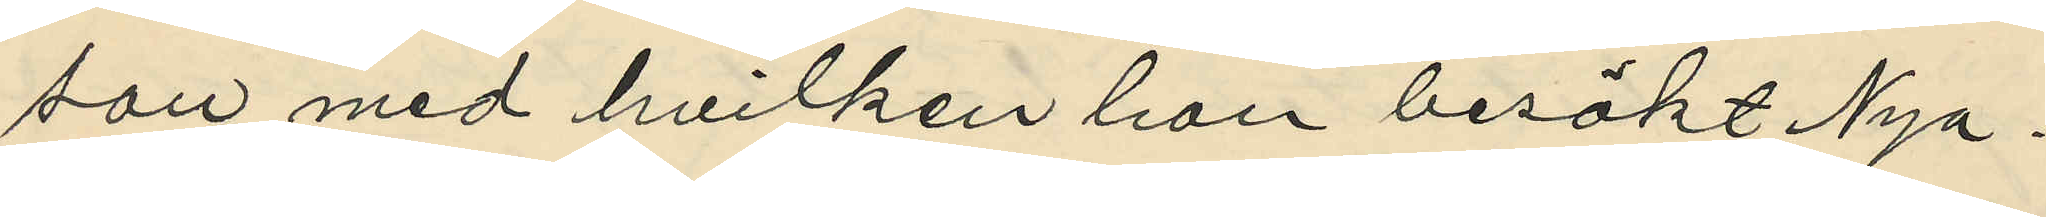son med hvilken han besökt Nya
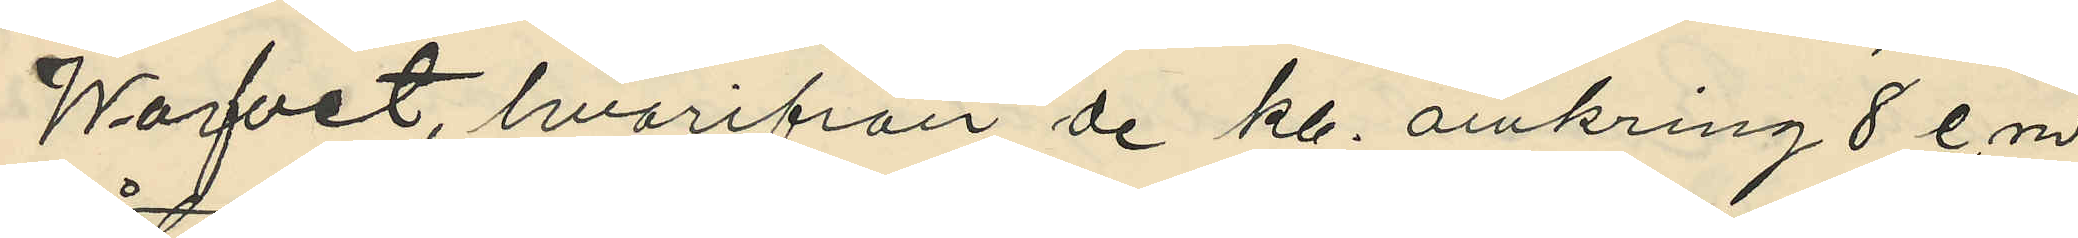Warfvet, hvarifrån de kl. omkring 8 e.m.
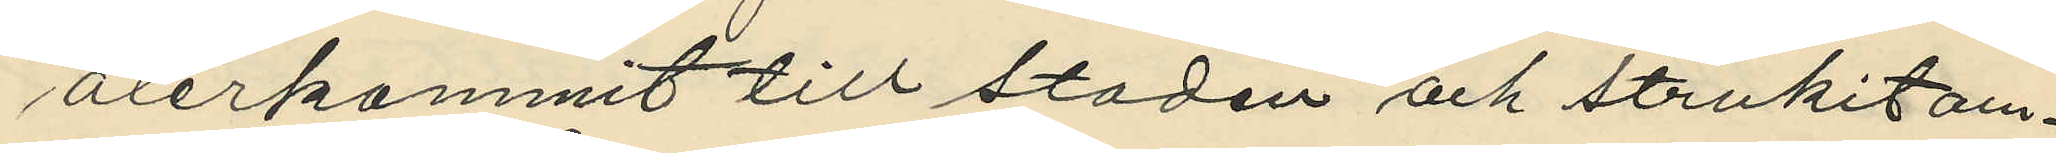återkommit till staden och strukit om¬
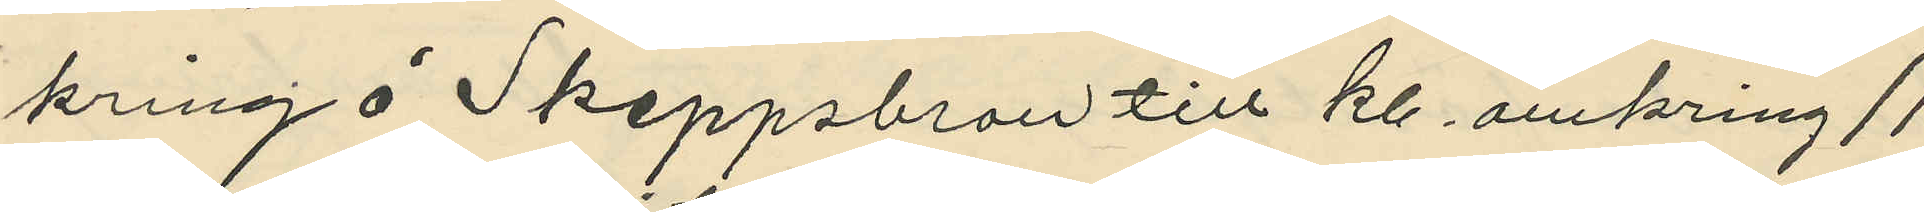kring å Skeppsbron till kl. omkring 11
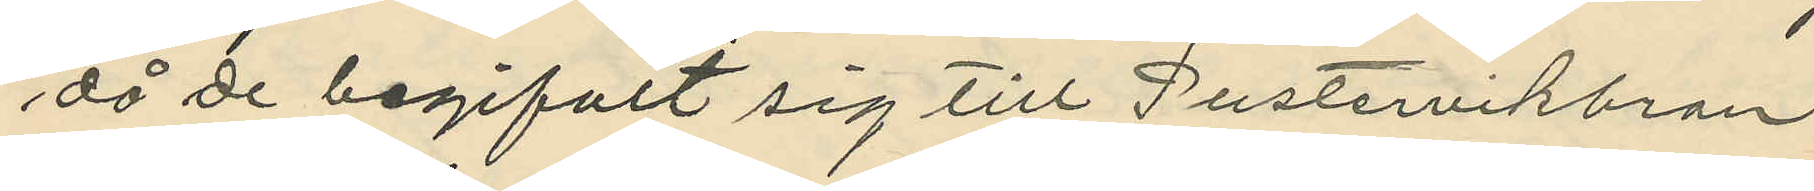då de begifvit sig till Pustervikbron
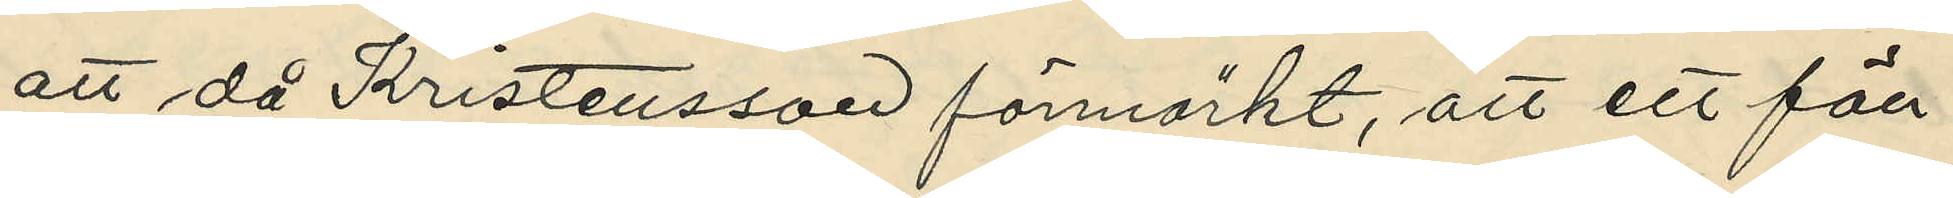att då Kristensson förmärkt, att ett fön¬
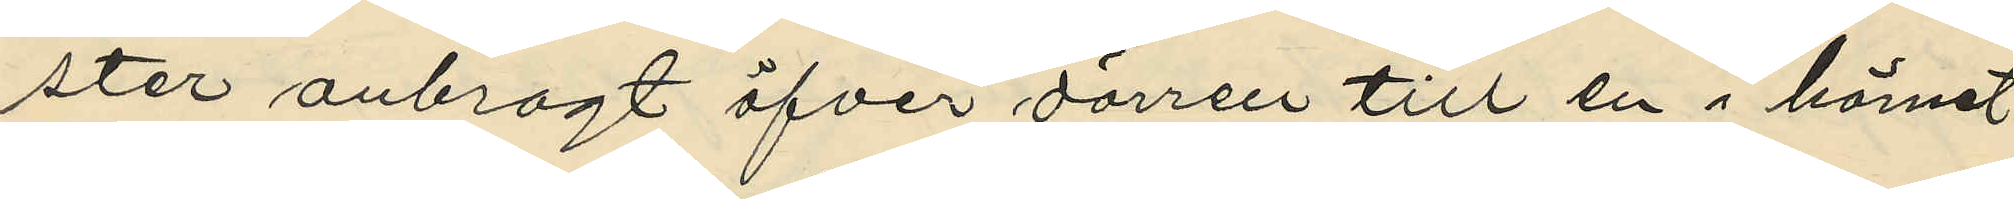ster anbragt öfver dörren till en i hörnet
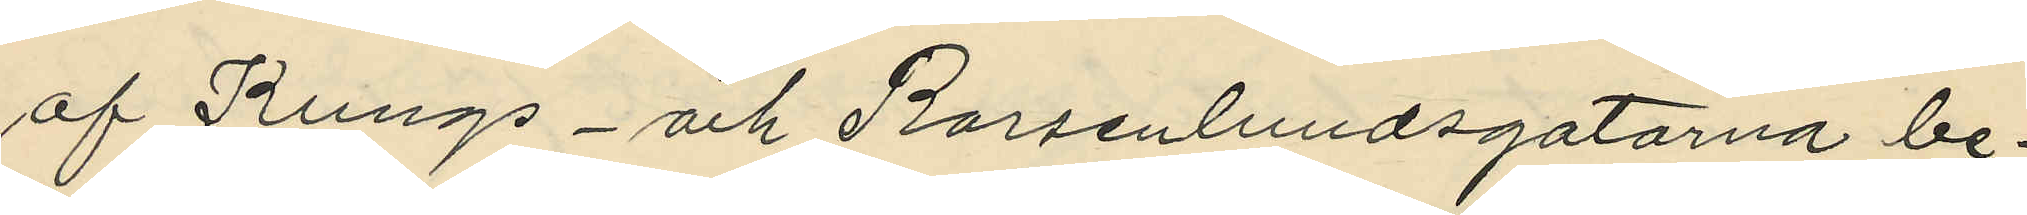af Kungs- och Rorsenlundsgatorna be¬
